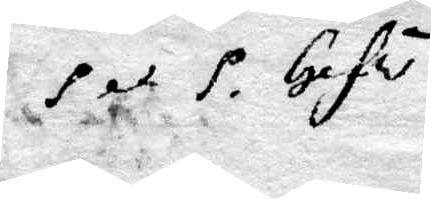P. et P. Gefle.
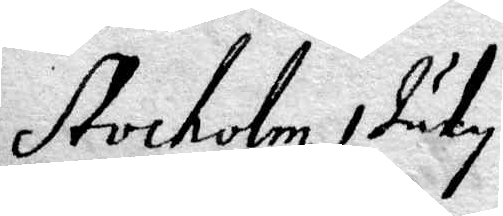Stockholm 1 July
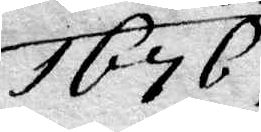1676.
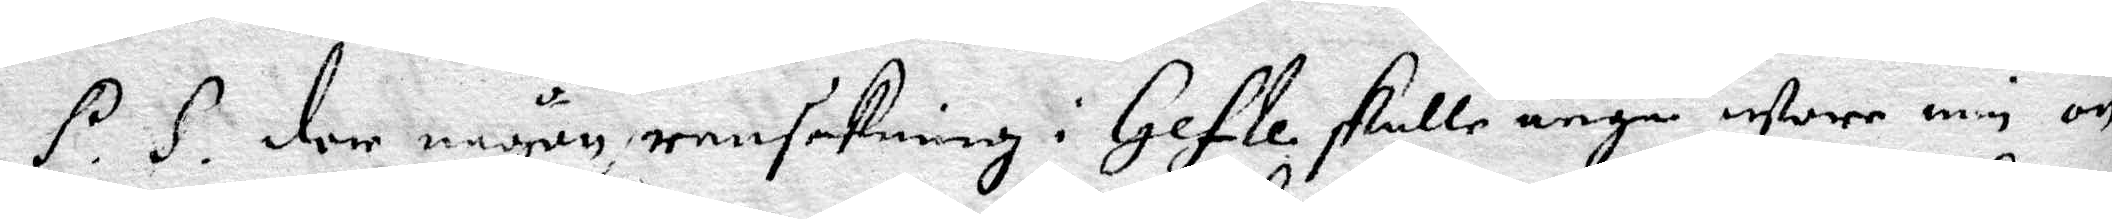P.S. der någon ransakning i Gefle skulle angå ware min ön¬
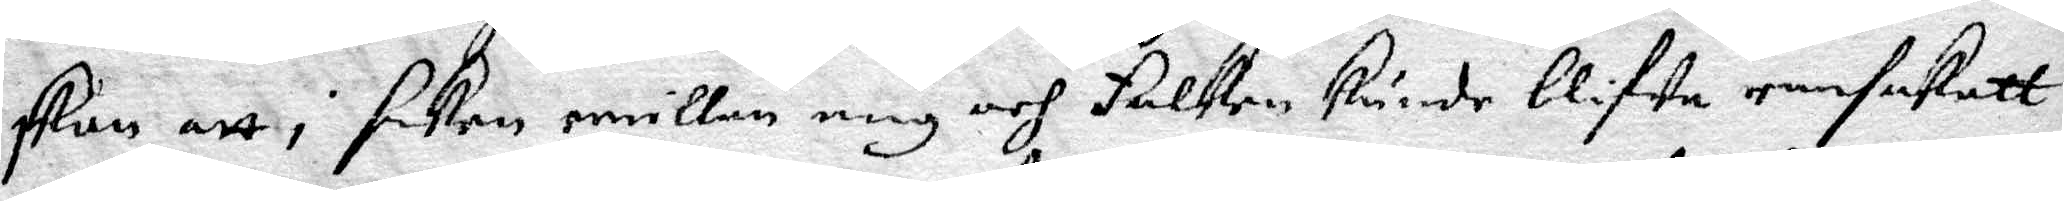skan att i saken emillan mig och Falken kunde blifwa ransakatt
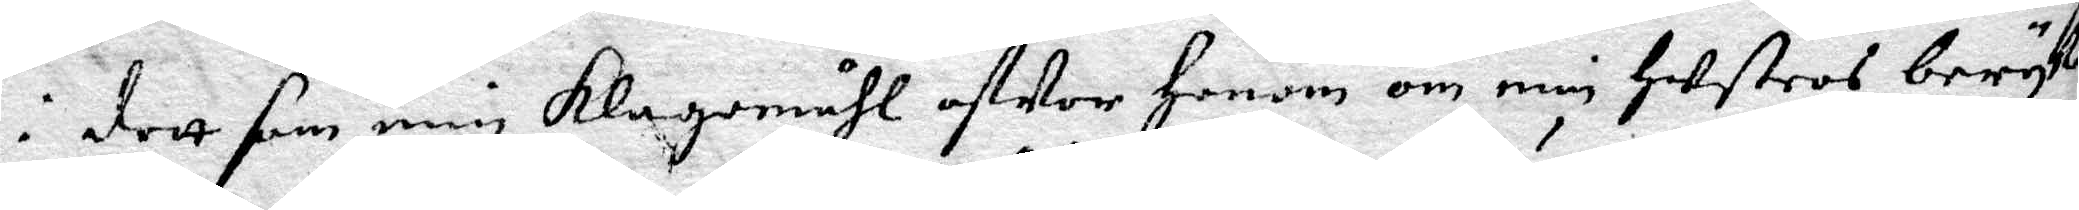i dett som min klagomåhl ofwer Honom om min Hustros beryk¬
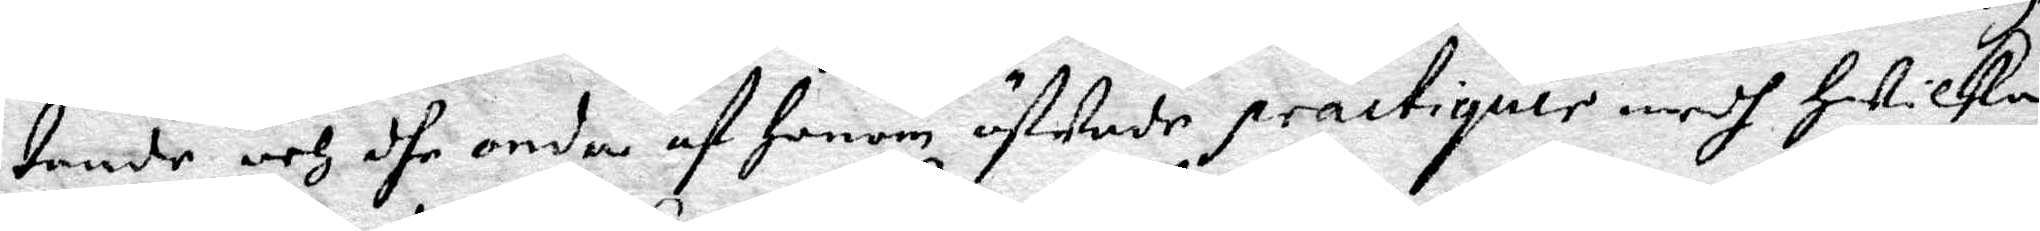tande och dhe onda af Honom öfwade practiquer medh Hwilka
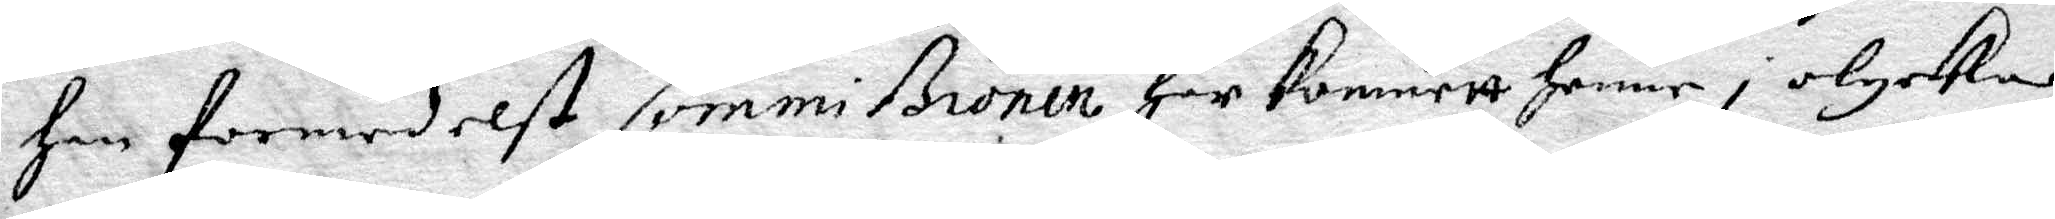Han formedelst Commißionen Har kommett Henne i olycka
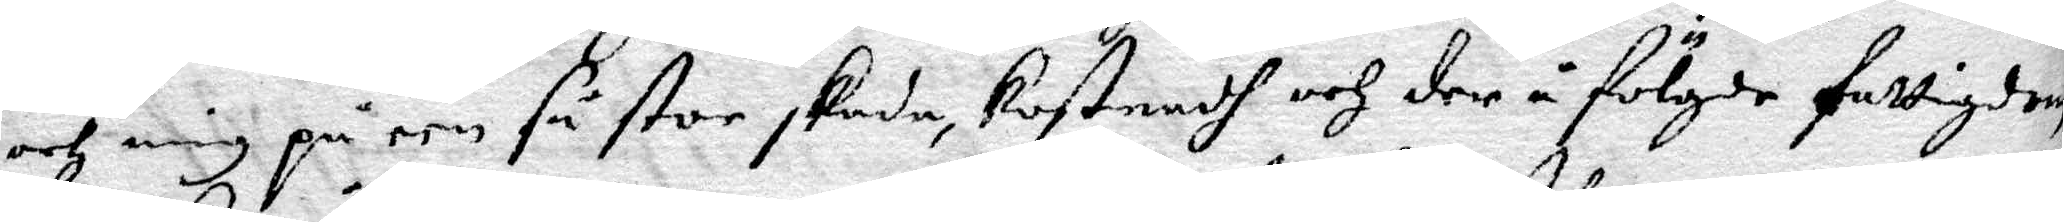och mig på een så stor skada, kostnadh och der å fölgde fattigdom
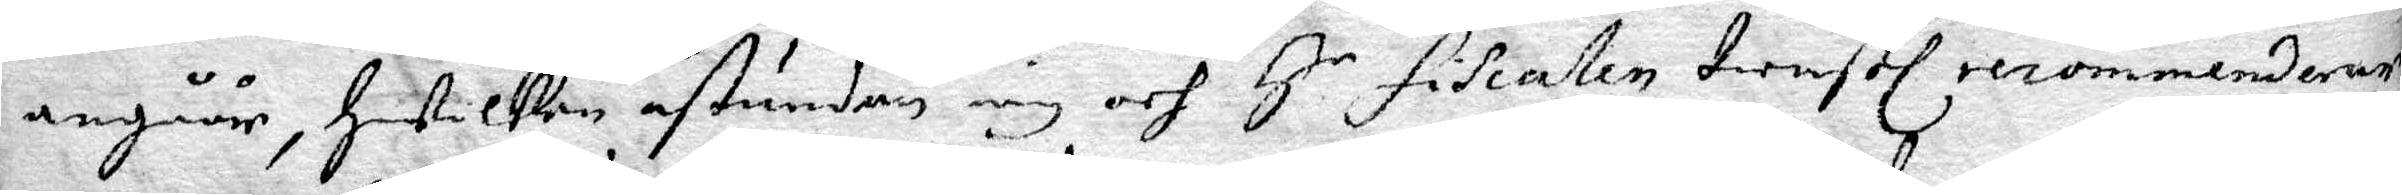angåår, Hwilken åstundan iag och H.r Fiscalen tienstl recommenderar.
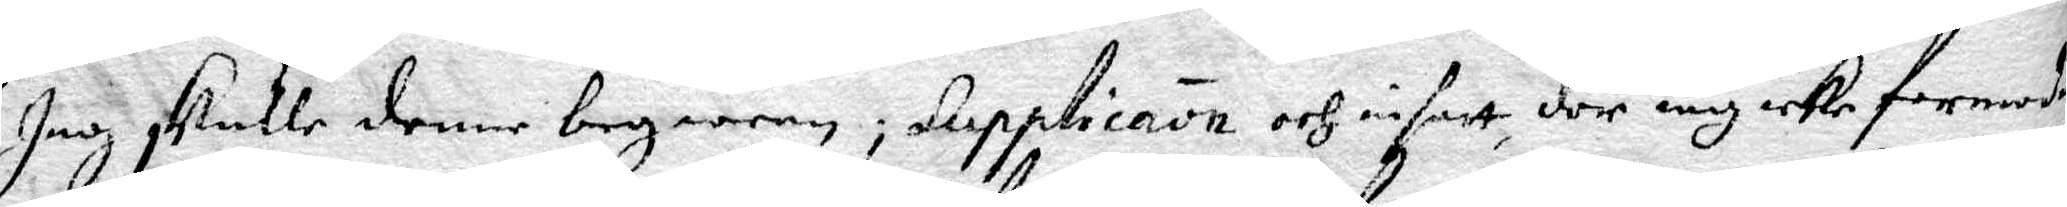Jag skulle denne begiäran; supplicanon och insatt, der iag icke formodat
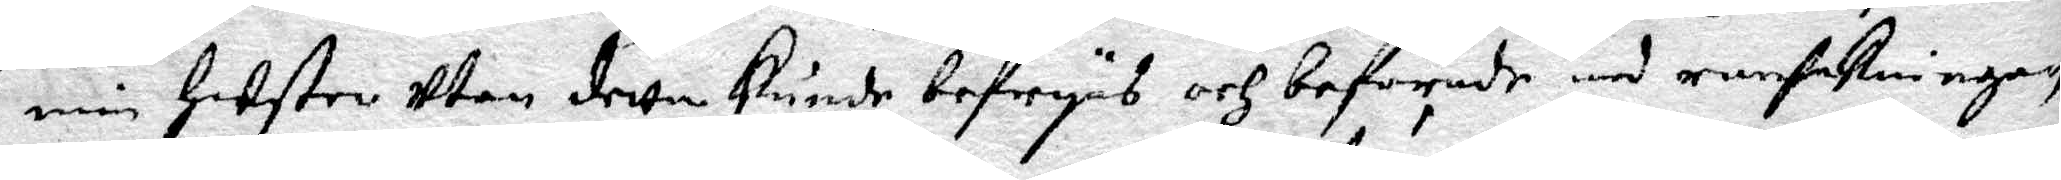min Hustro utan detta kunde befryas och beforade med ransakningen
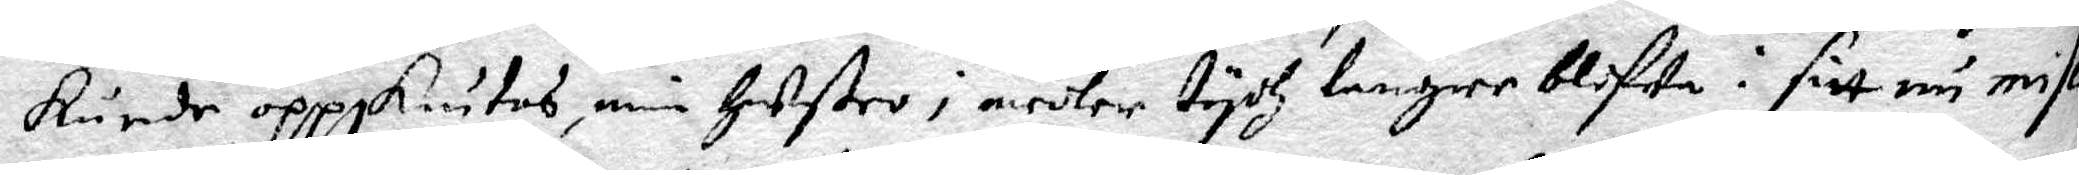kunde oppskiutas, min Hustro i medler tydh längre blifwa i sitt nu misse¬
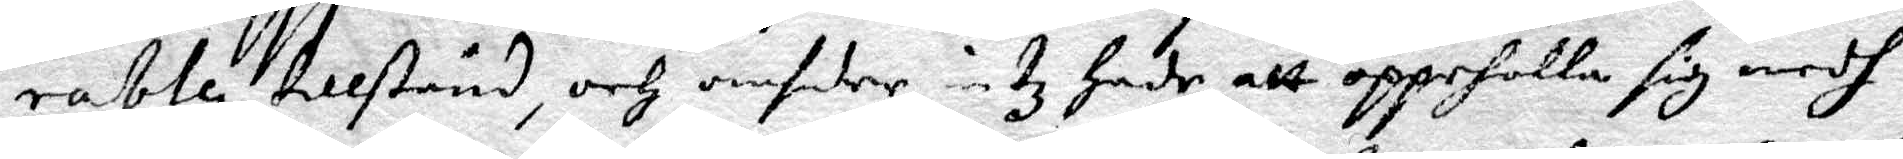rable tillstånd, och omsider intz Hade att oppeholla sig medh.
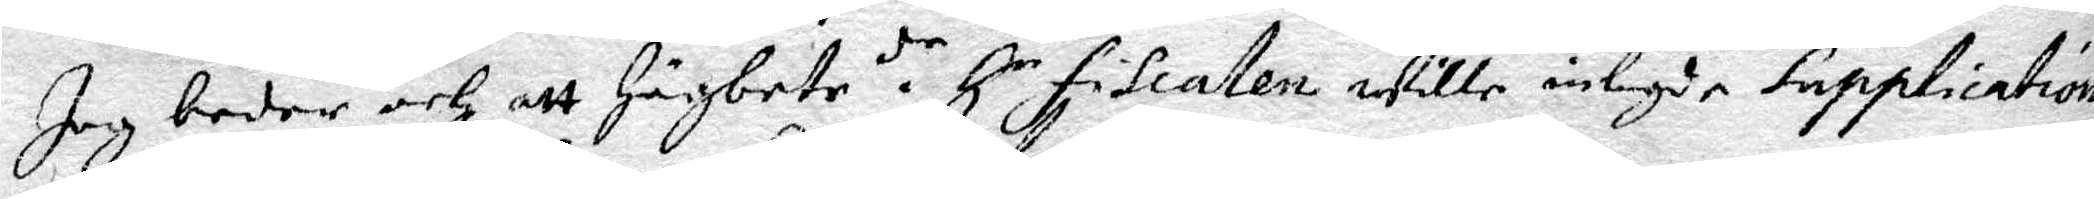Jag beder och att Högbetr. de H.r Fiscalen wille inlagde Supplication
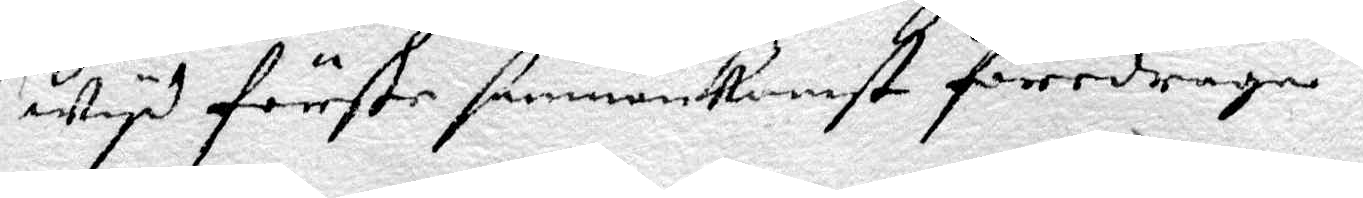wydh förste sammankomßt foredraga.
